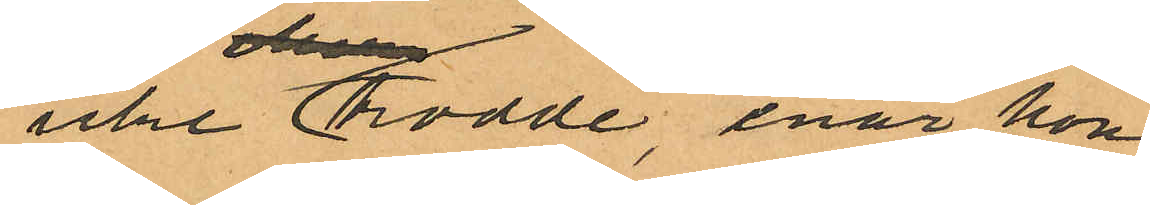icke trodde enär hon
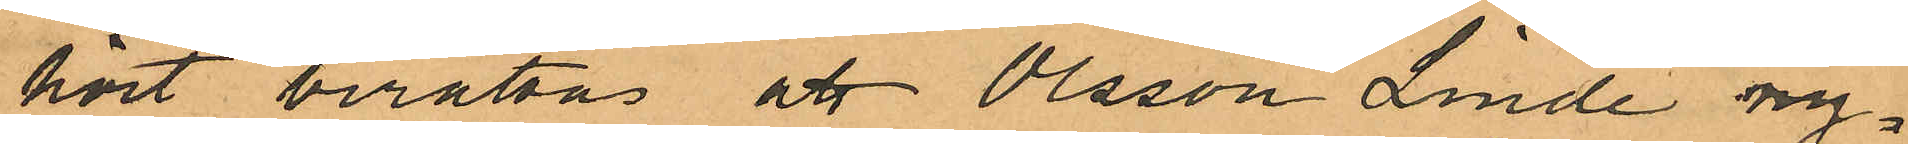hört berättas att Olsson Linde ny¬
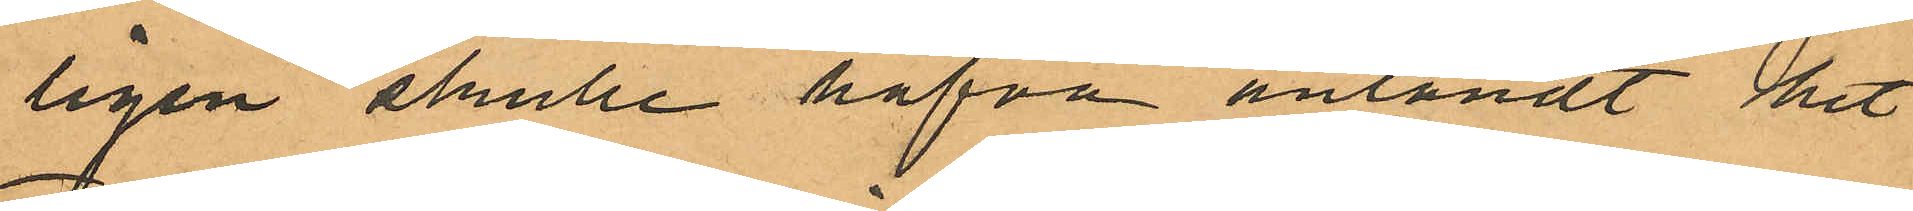ligen skulle hafva anländt hit
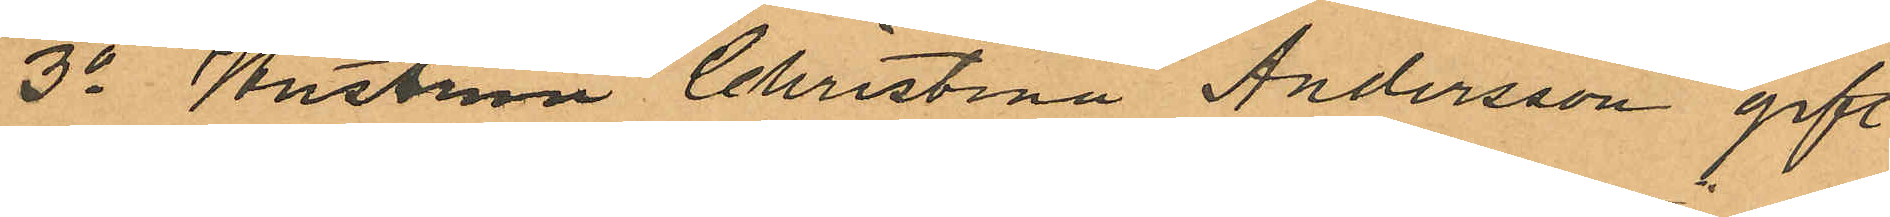3o Hustrun Christina Andersson gift
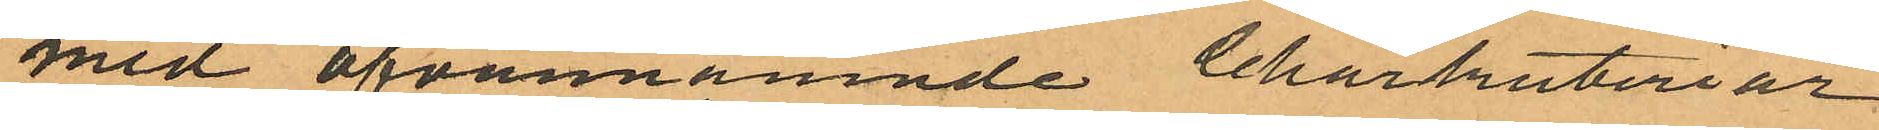med ofvannämnde Charkuteriar¬
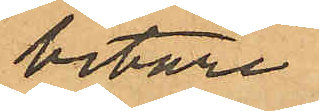betare
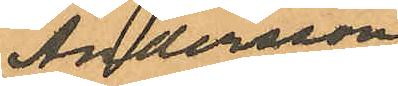Andersson
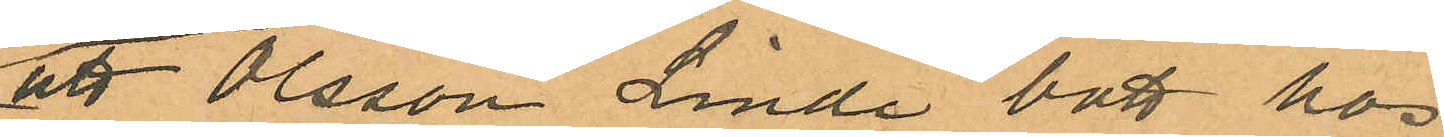att Olsson Linde bott hos
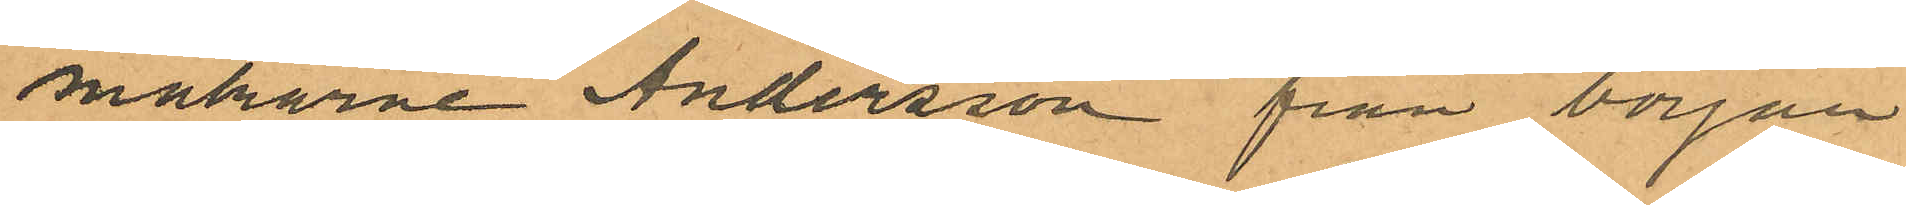makarne Andersson från början
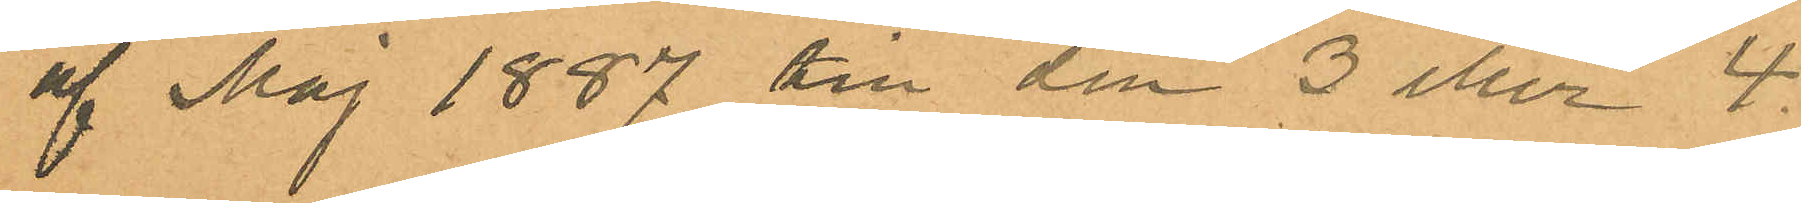af Maj 1887 till den 3 eller 4
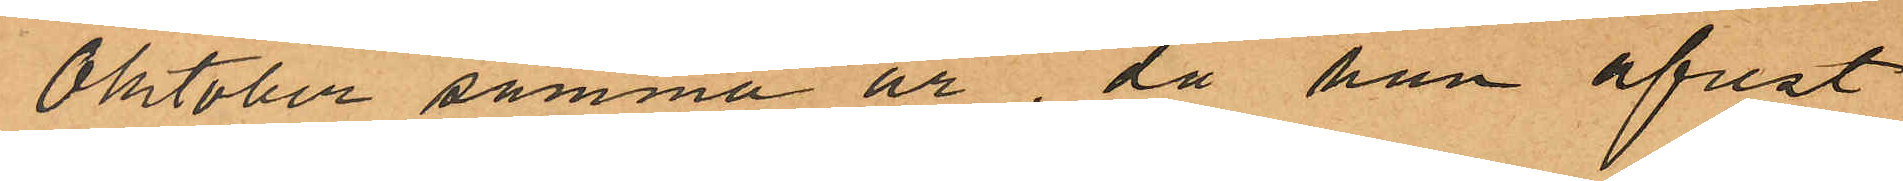Oktober samma år, då han afrest
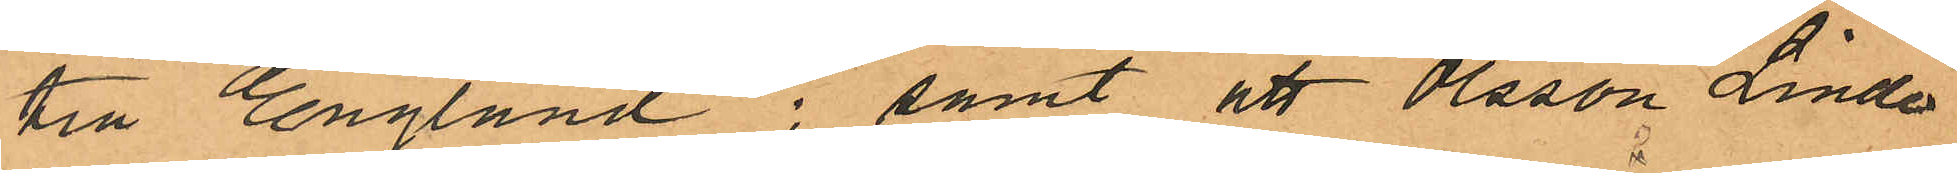till England; samt att Olsson Linde
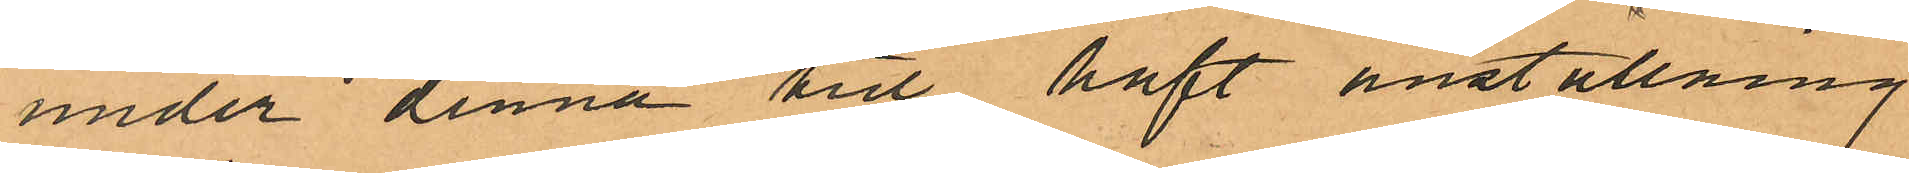under denna tid haft anställning
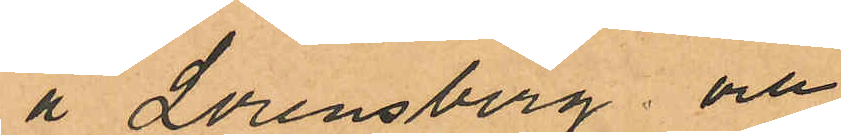å Lorensberg; och
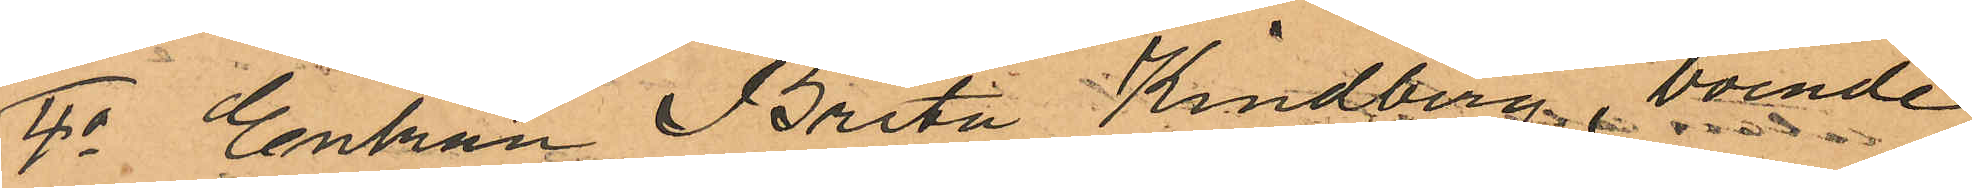4o Enkan Brita Kindberg, boende
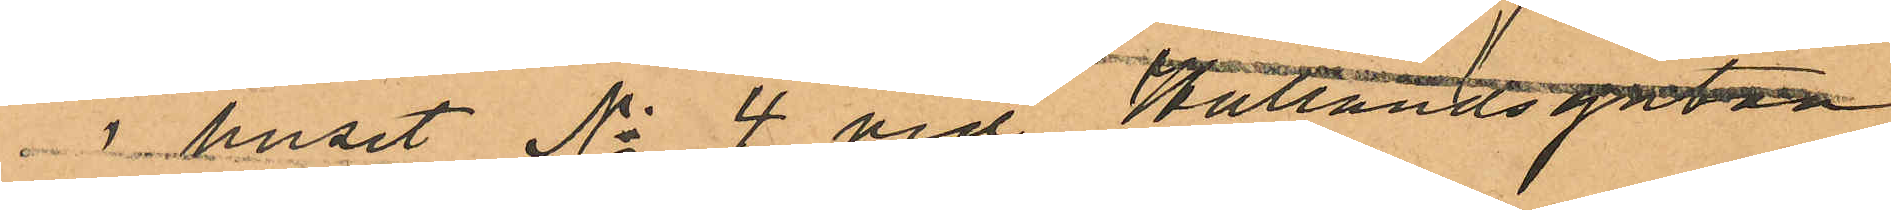i huset No 4 vid Hallandsgatan
